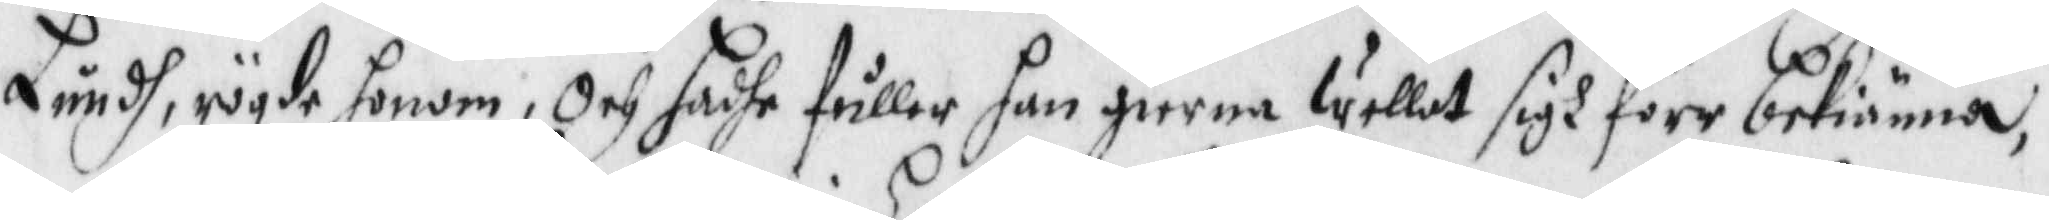Lundh, rögde honom, Och sadhe fuller han gierna wellat sigh förr bekiänna,
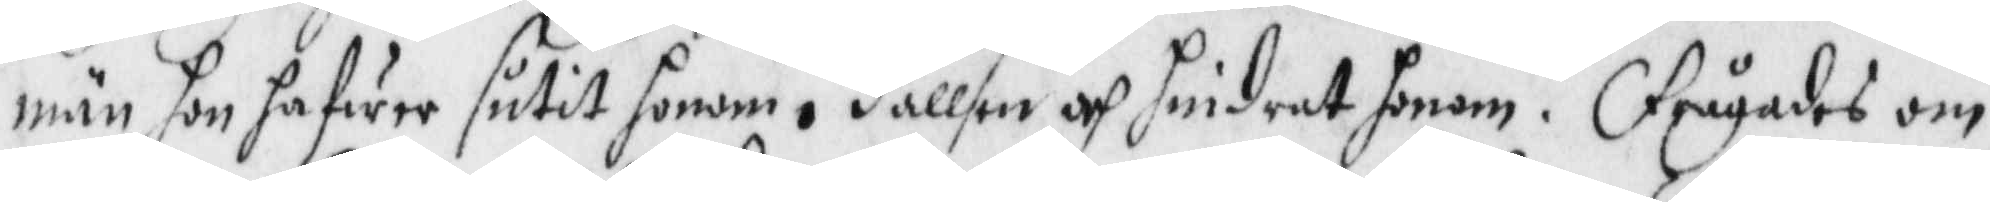män hon hafwer sutit honom i Hallsen och hindrat honom. Frågades om
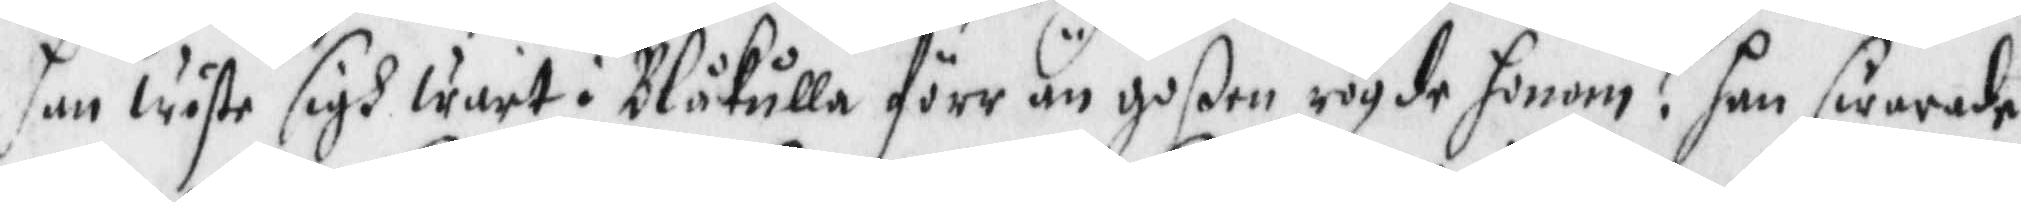han wiste sigh warit i Blåkulla förr än goßen rögde honom? han swarade
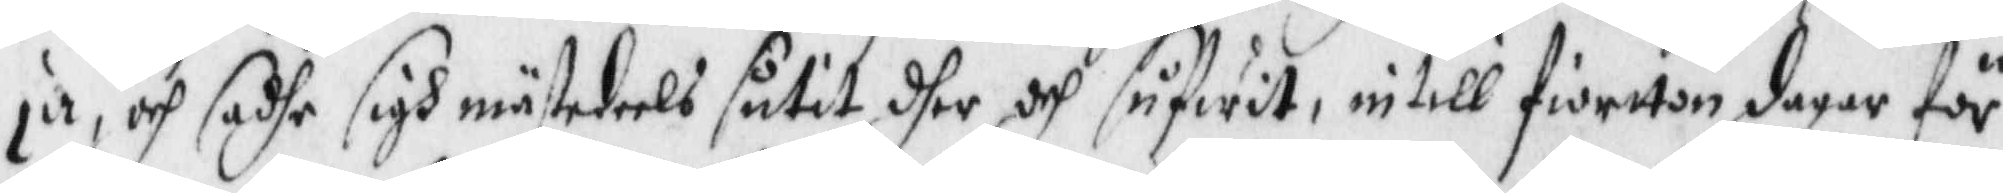ja, och sadhe sigh mästadeels sutit dher och sufwit, intill fiortton dagar för
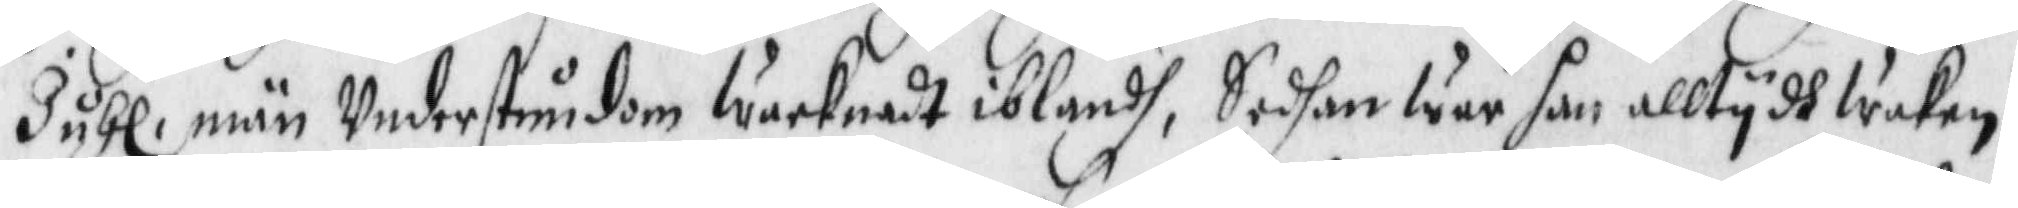Juhl, män Understundom wacknadt iblandhm Sedhan war han alltydh waken.
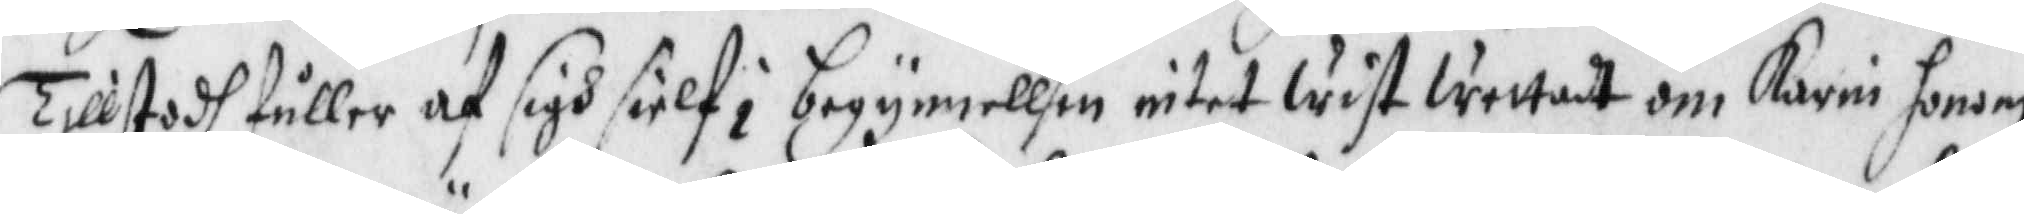Tillstodh fuller af sigh sielf i begynnellsen intet wist wettadt om Karin honom
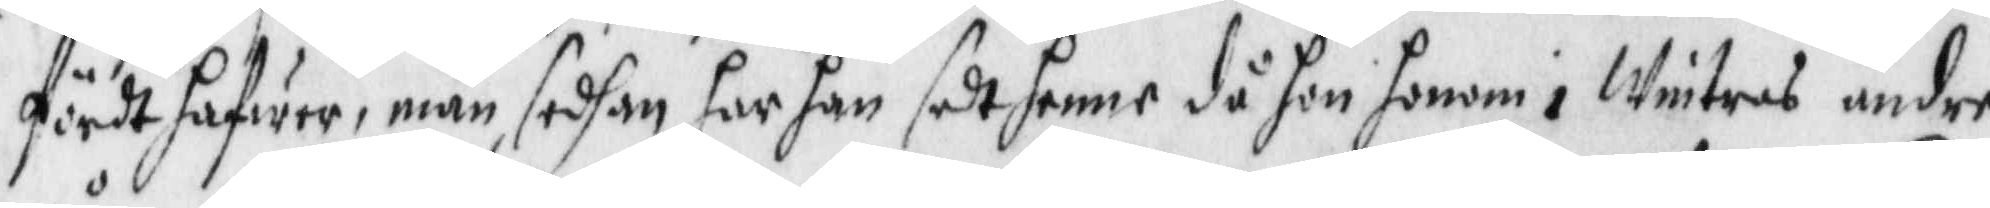fördt hafwer, män sedgan har han sedt henne då hon honom i wintras under
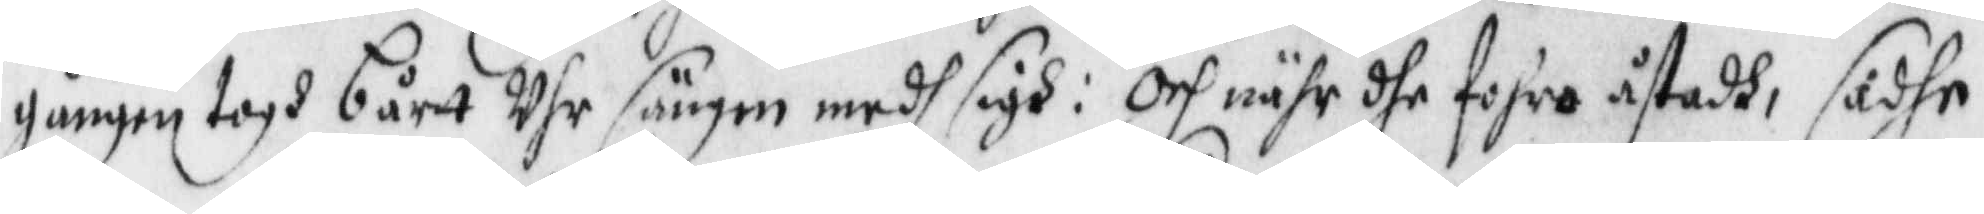gången togh bårtt uhr sängen medh sigh: Och nähr dhe fohro åstadh, sadhe
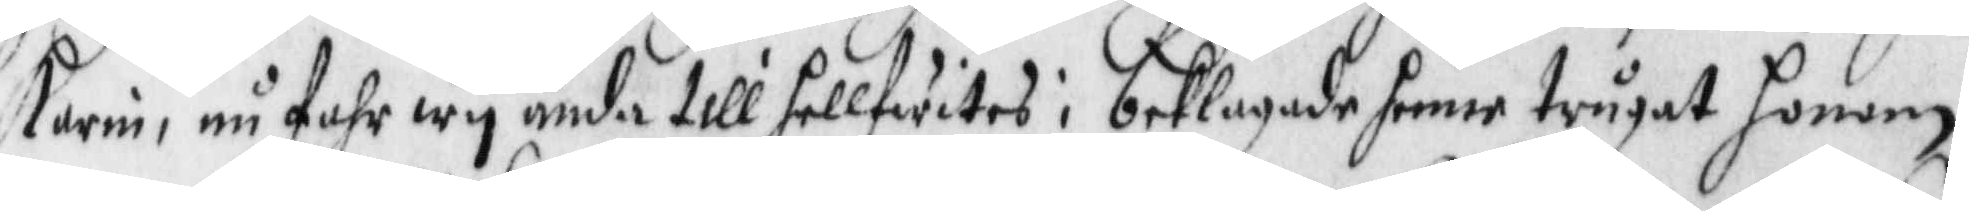Karin, nu fahr wy ända till hellfwites; beklagade henne trugat honom
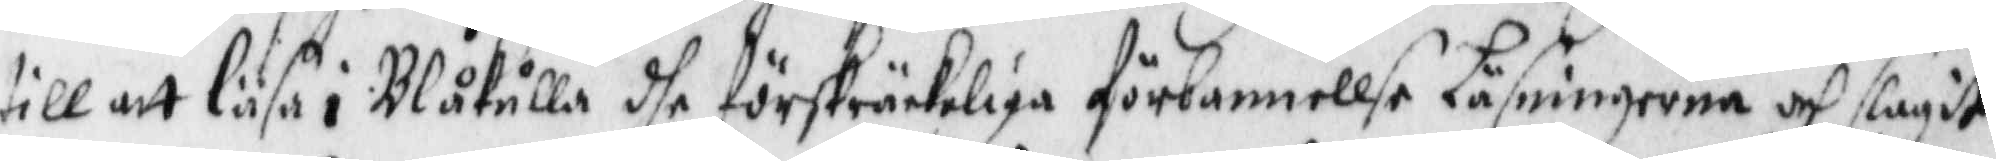till att läsa i Blåkulla dhe förskräckeliga förbannellse Läsningarna och slagit
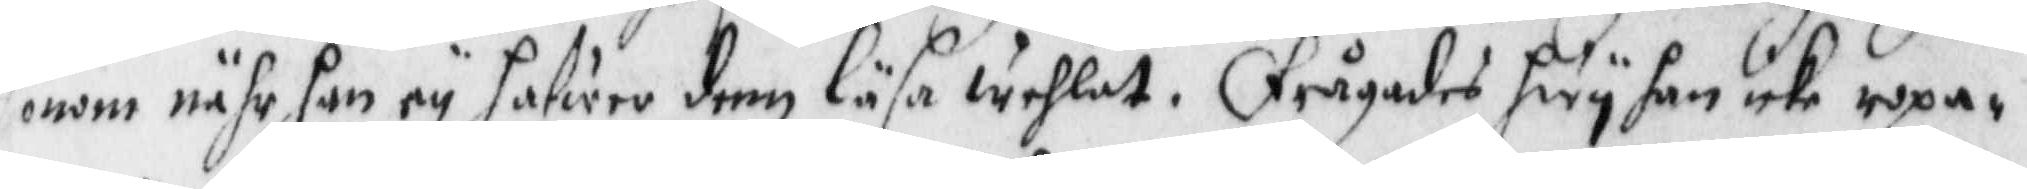honom nähr han ey hafwer dem läsa wehlat. Frågades hwy han icke ropa¬
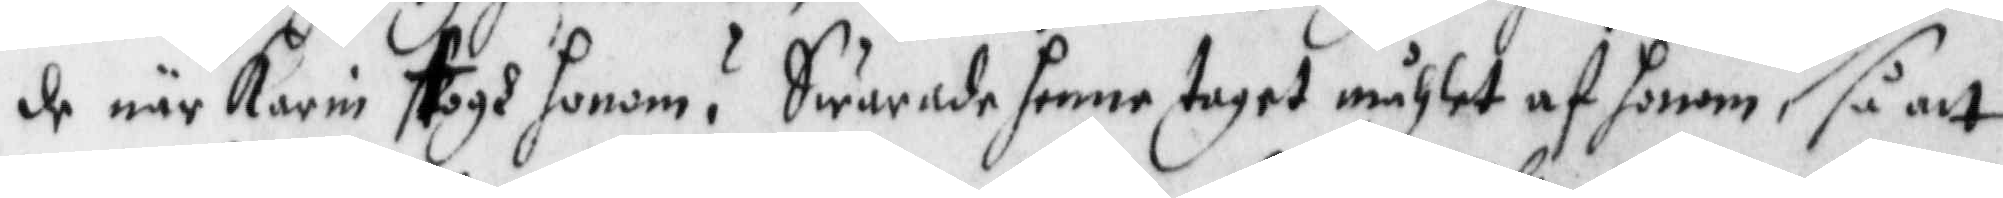de när Karin togh honom? Swarade henne taget måhlet af honom, så att
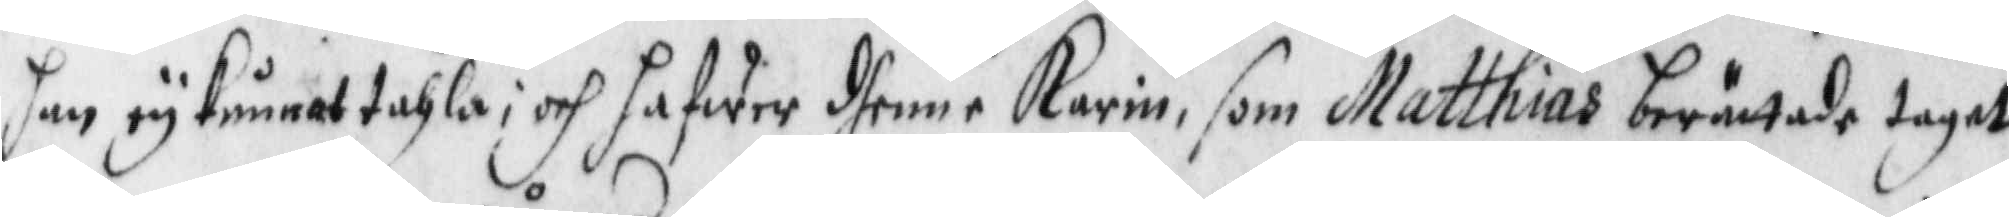han ey kunnat tahla; och hafwer dhenne Karin som Matthias berättade taget
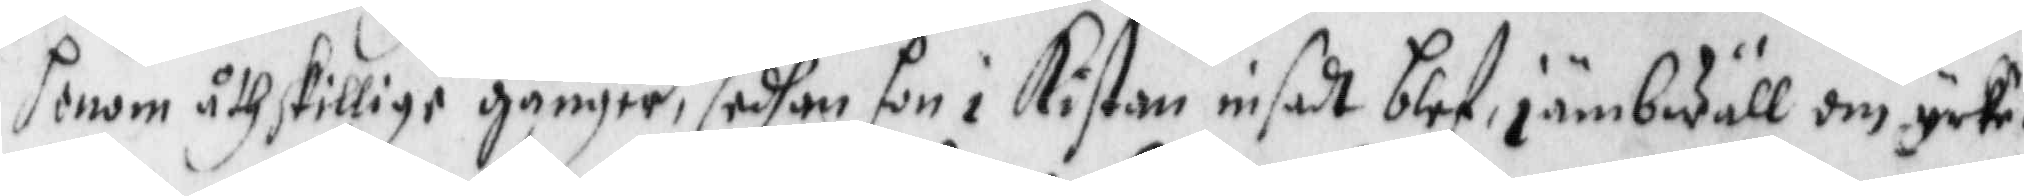honom åthskillige gånger, sedhan hon i Kistan insadt blef, jämbwäll om icke
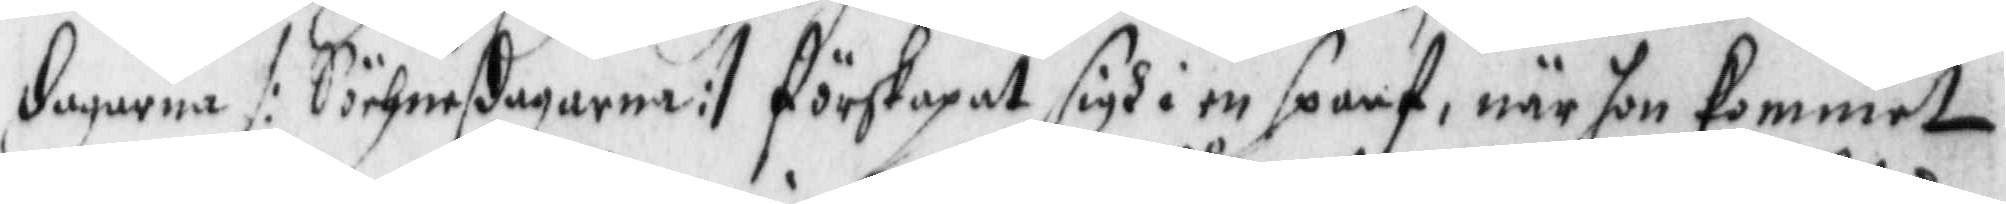dagarna /: Söchnedagarna :/ förskapat sigh i en sparf, när hon kommet
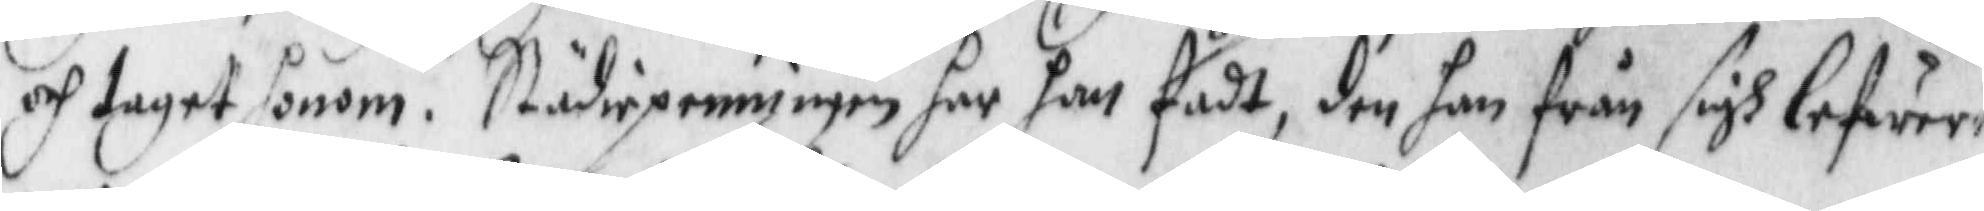och taget honom. Städiepenningen har han fådt, den han från sigh lefwere¬
